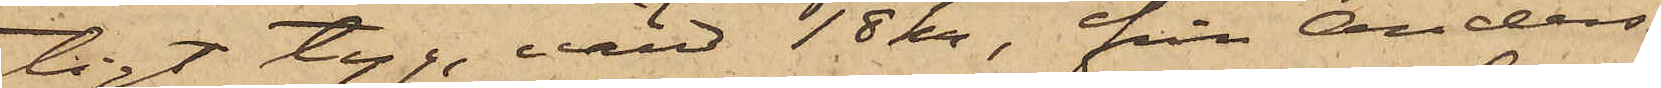tigt tyg, värd 18 kr, från Anders¬
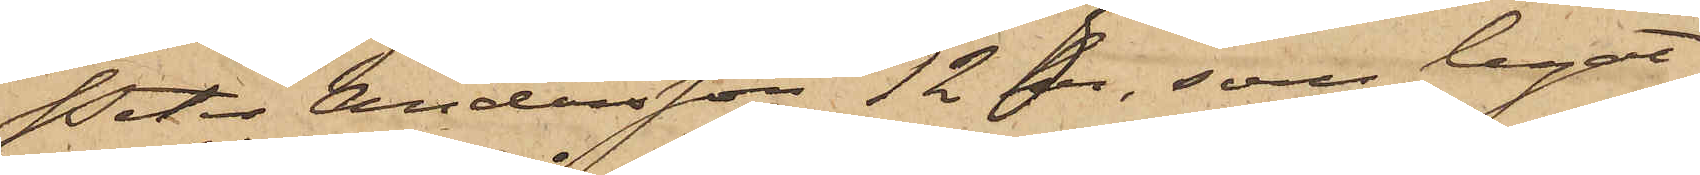Peter Andersson 12 kr, som legat
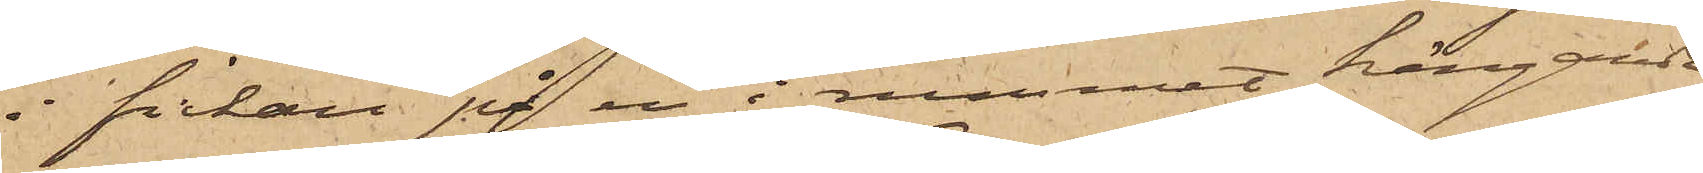i fickan på en i rummet hängande
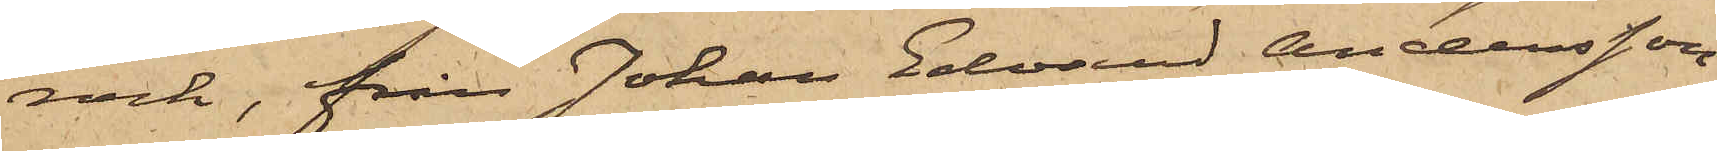rock, från Johan Edvard Andersson
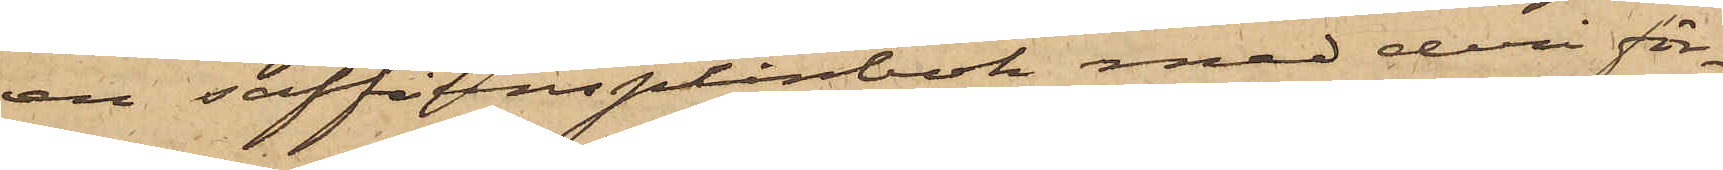en saffiansplånbok med deri för¬
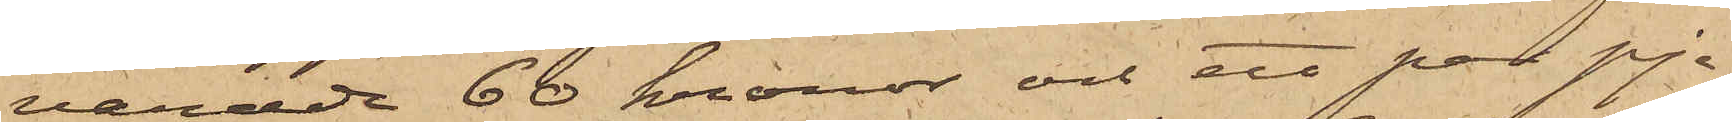varade 60 kronor och ett par pje¬
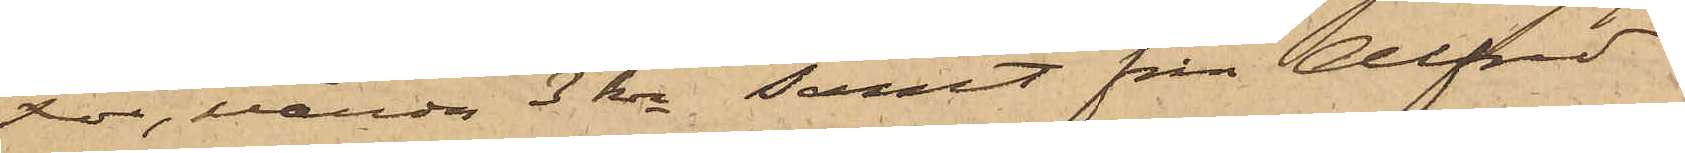xor, värda 3 kr samt från Alfred
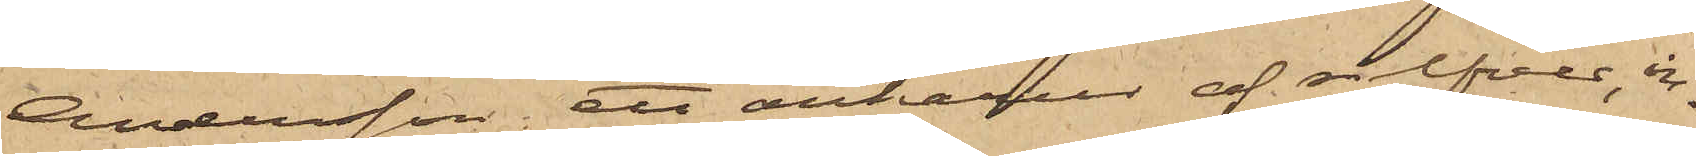Andersson ett ankarur af silfver, in¬
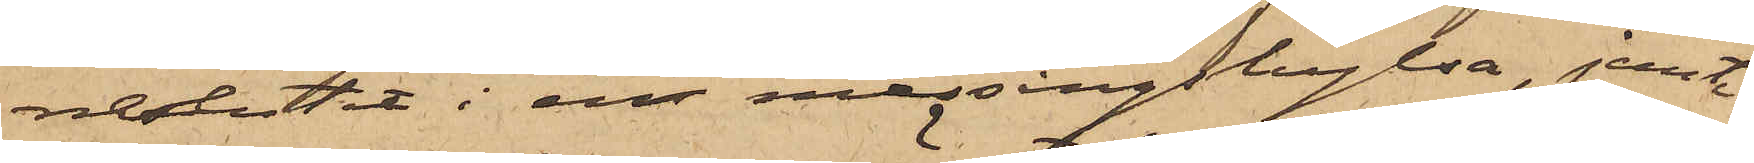neslutet i en messingshylsa, jemte
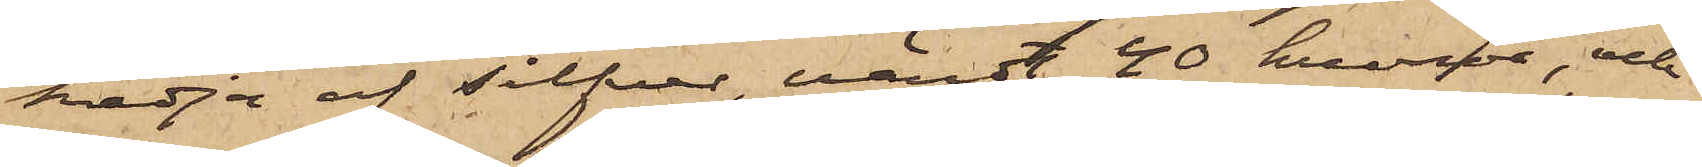kedja af silfver, värdt 40 kronor, och
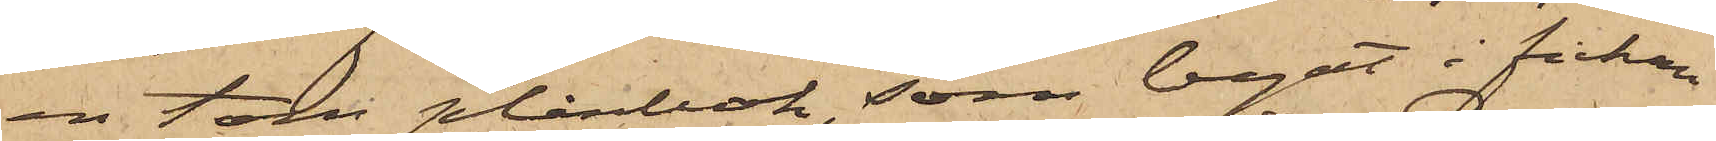en tom plånbok, som legat i fickan
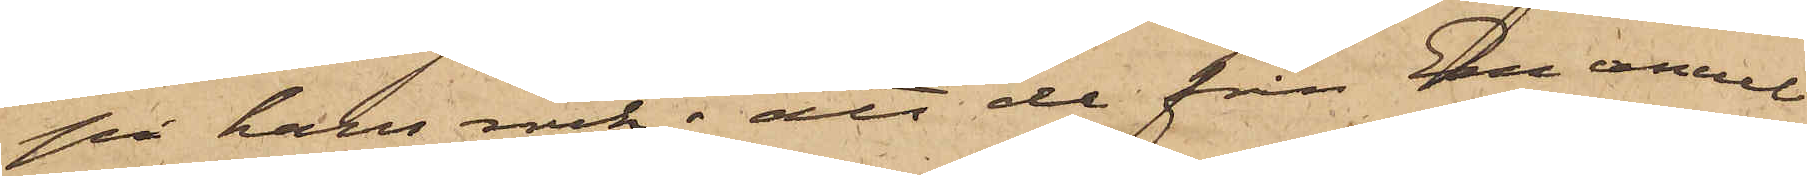på hans rock; att de från Emanuel
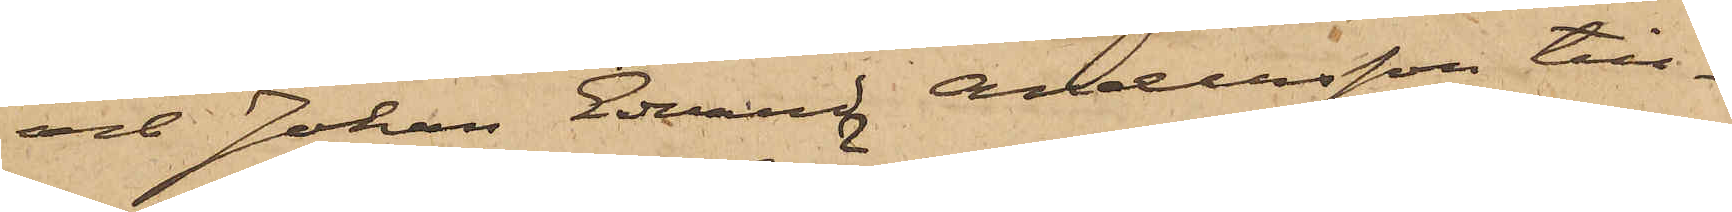och Johan Edvard Andersson till¬
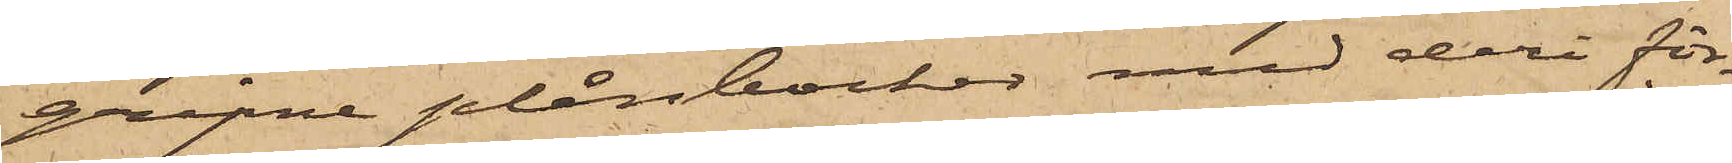gripne plånböcker, med deri för¬
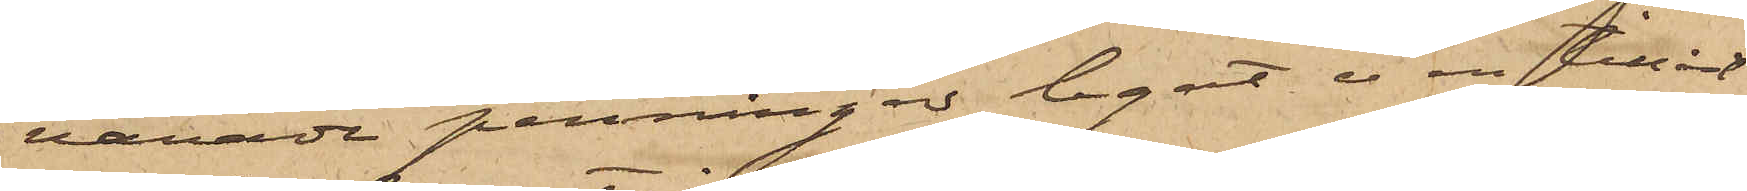varade penningar legat i en tillåst
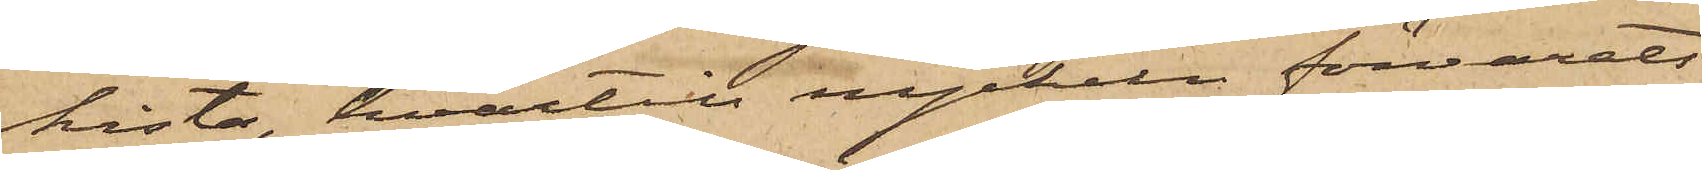kista, hvartill nyckeln förvarats
